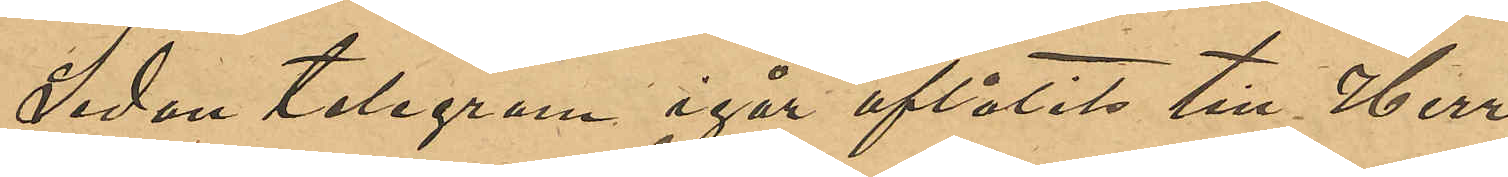Sedan telegram igår aflåtits till Herr
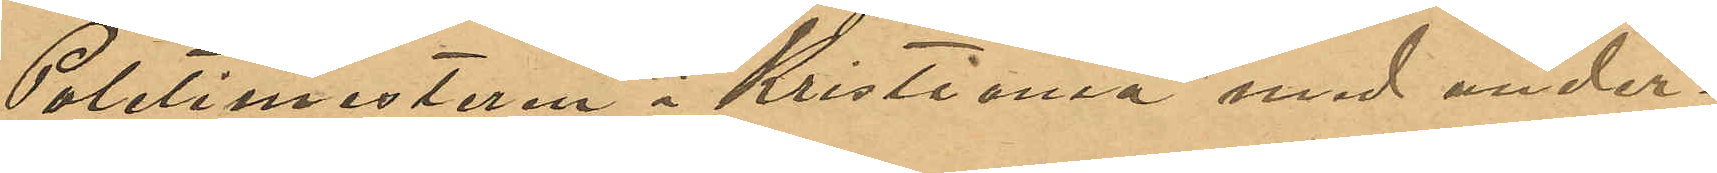Politimestaren i Kristiania med under¬
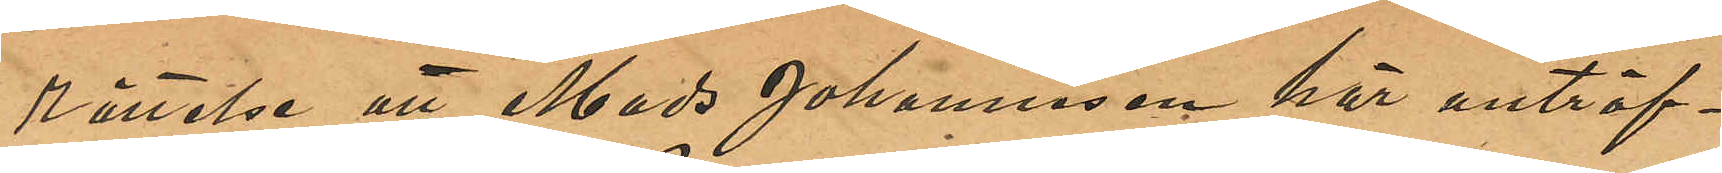Rättelse att Mads Johanneson här anträf¬
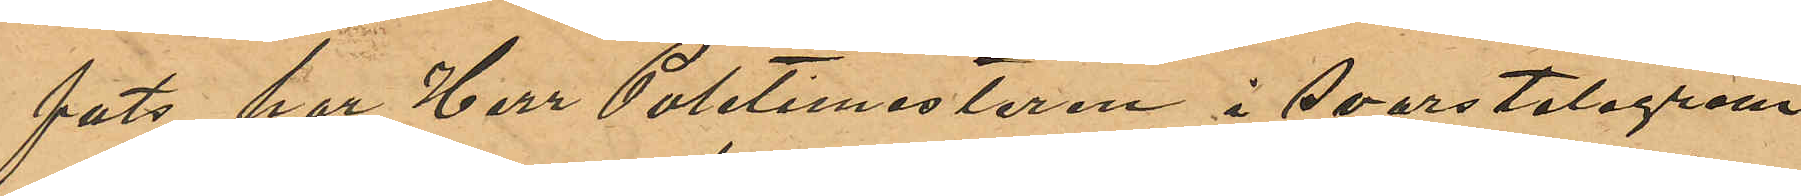fats, har Herr Politimestaren i Svarstelegram
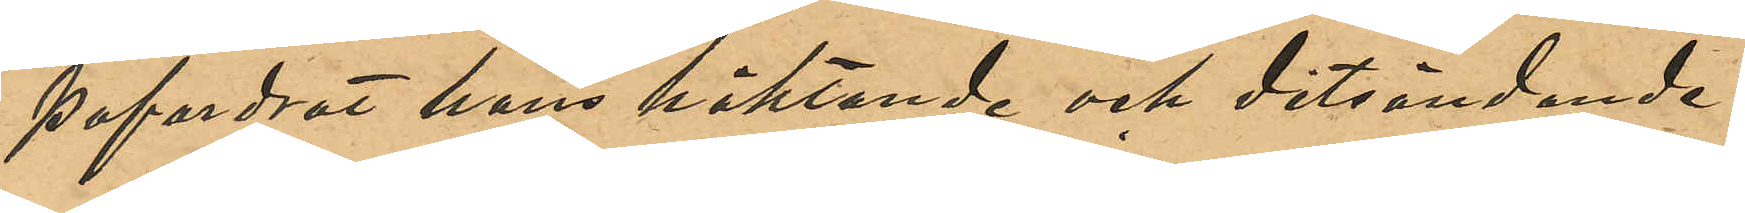pafordrat hans häktande och ditsändande.
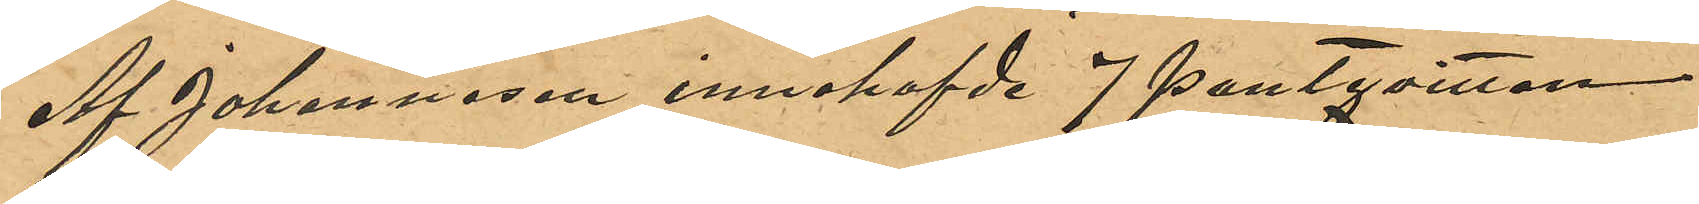Af Johannesen innehafvde 7 pantqvitton
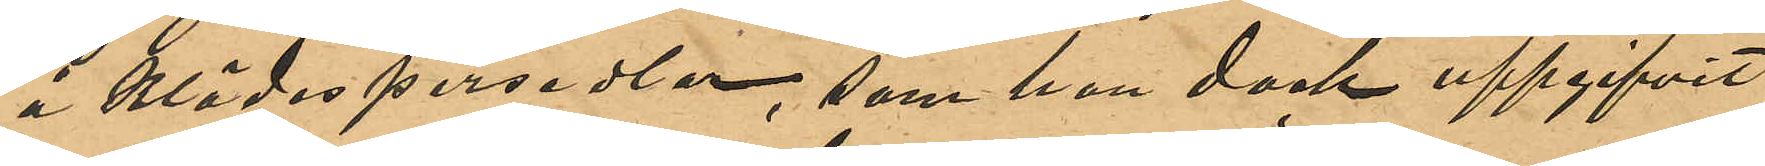å klädespersedlar, som han dock uppgifvit
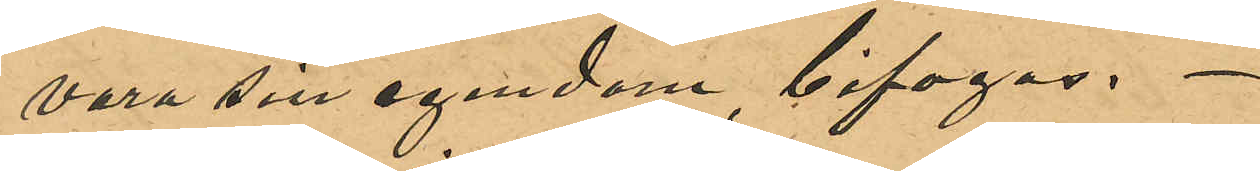vara sin egendom, bifogas.
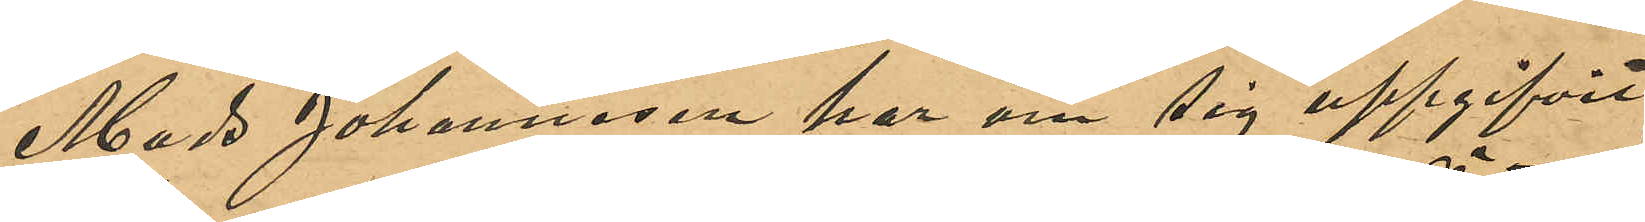Mads Johannesen har om sig uppgifvit
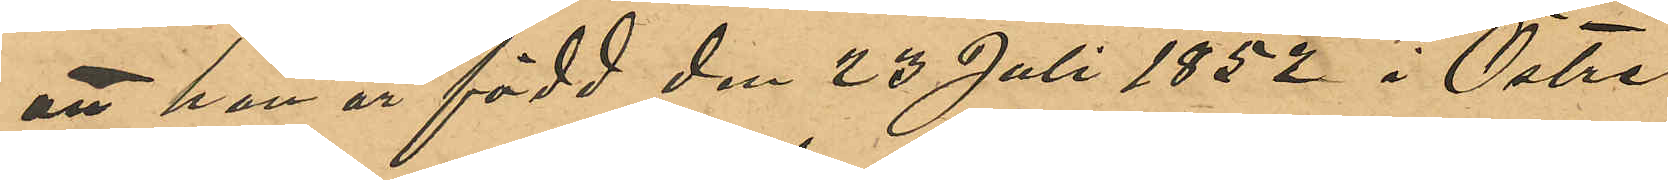att han är född den 23 Juli 1852 i Östre
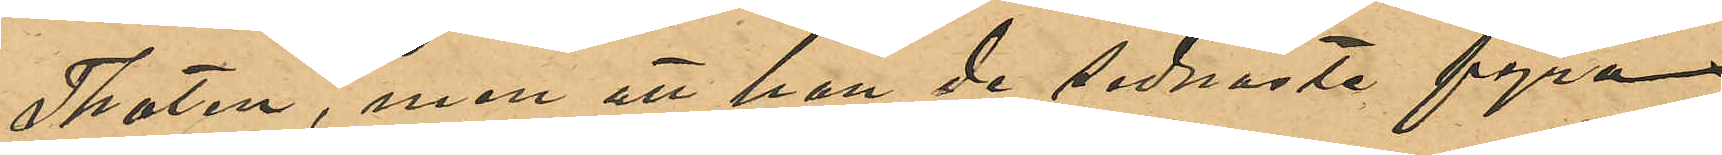Thoten, men att han de sednaste fyra
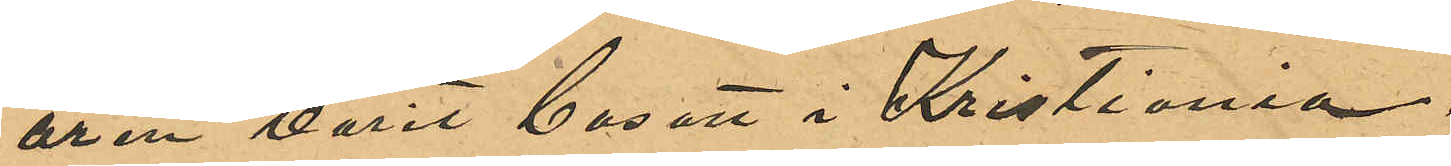åren varit bosatt i Kristiania.
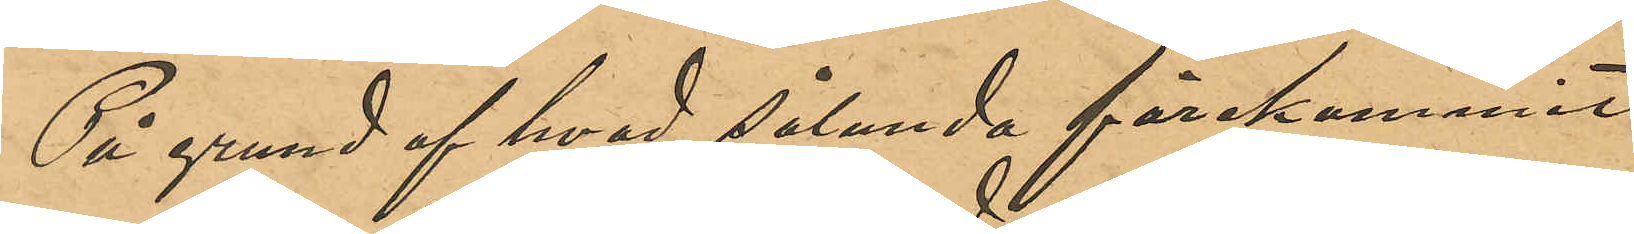På grund af hvad sålunda förekommit
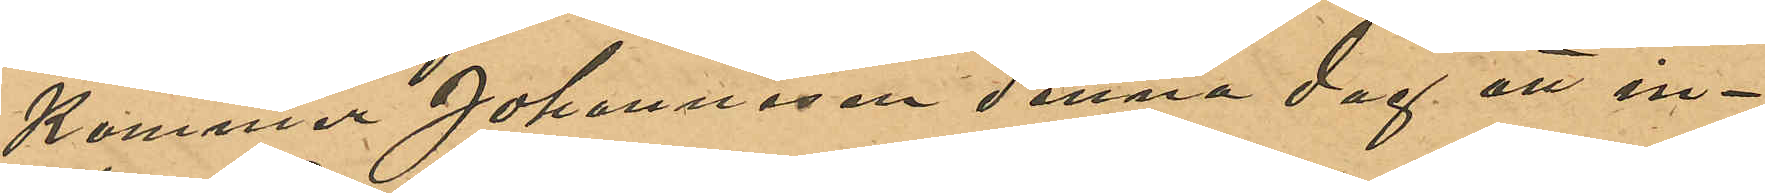Kommer Johannesen denna dag att in¬
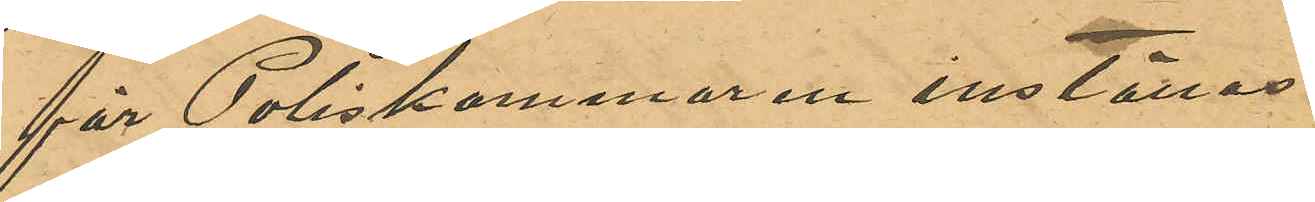för Poliskammaren inställas.
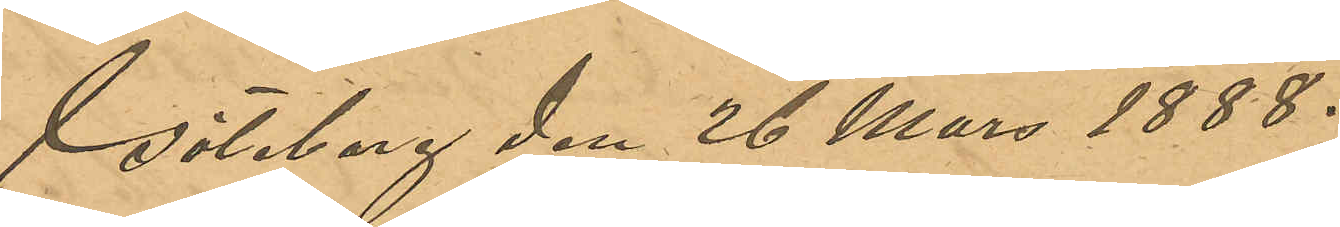Göteborg den 26 Mars 1888.
